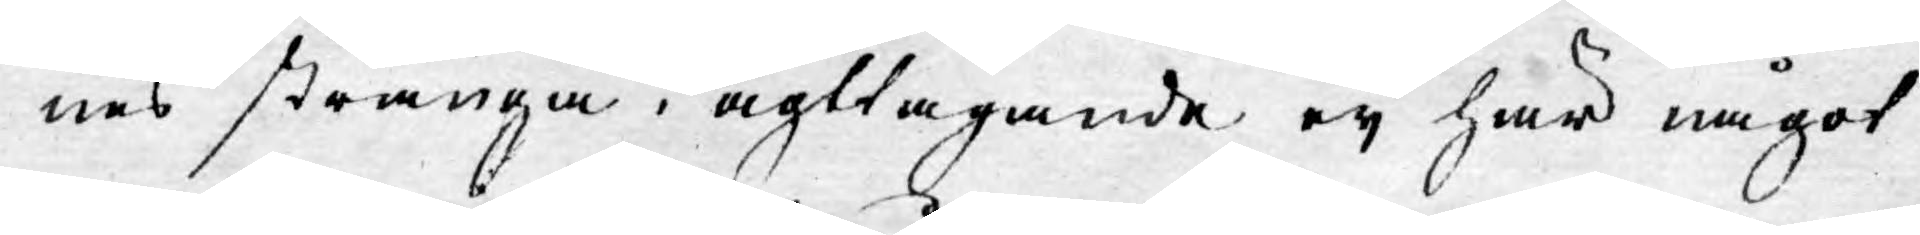nes stränga iagttagande eij har något
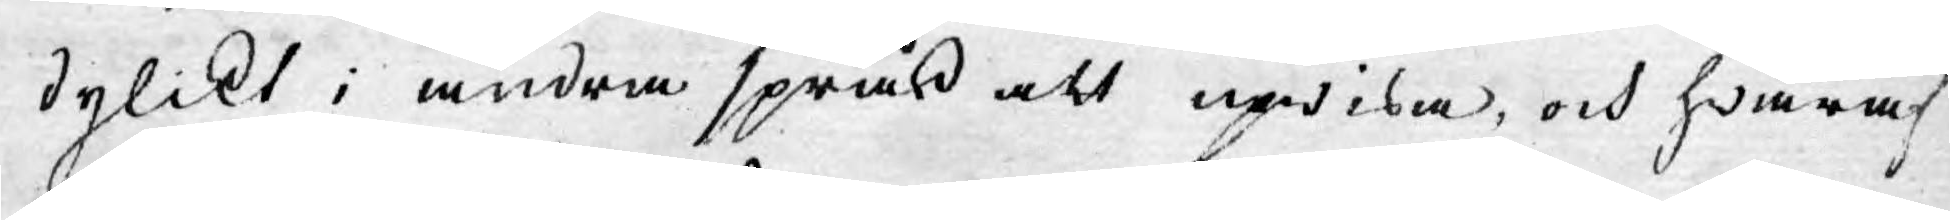dylikt i andra språk att upwisa, och hwaraf
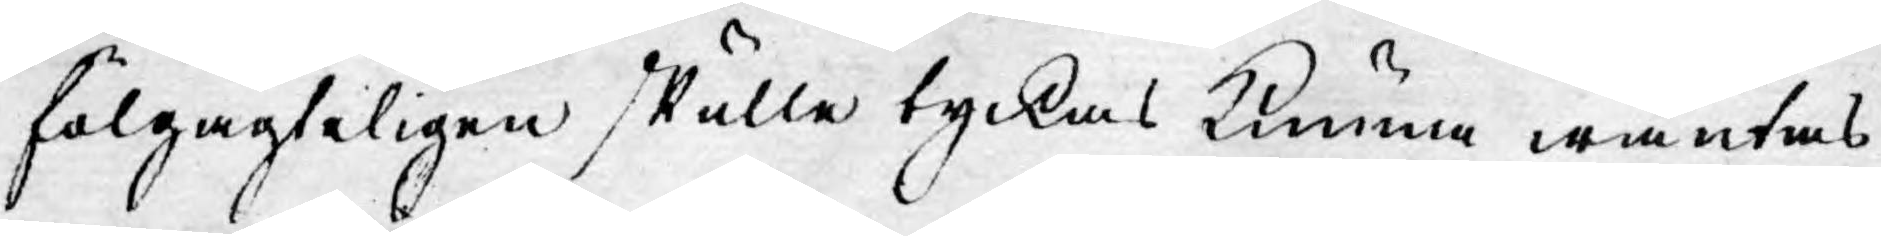fölgagteligen skulle tyckas kunna wäntas
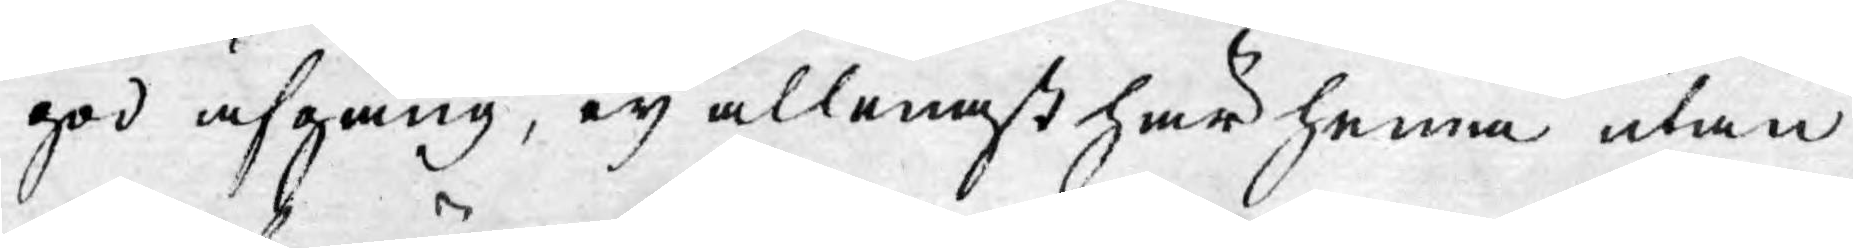god afgång, eij allenast här hema utan
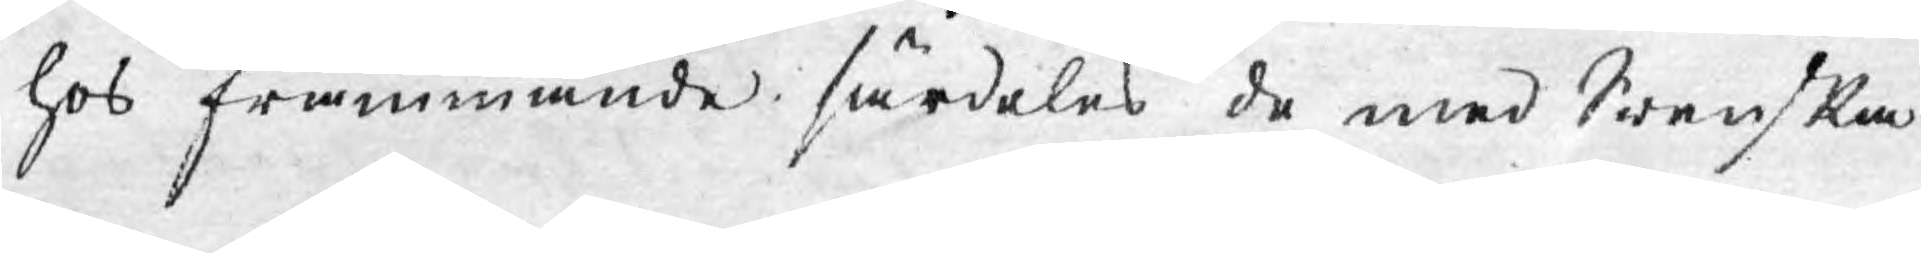hos främmande särdeles de med Swenska
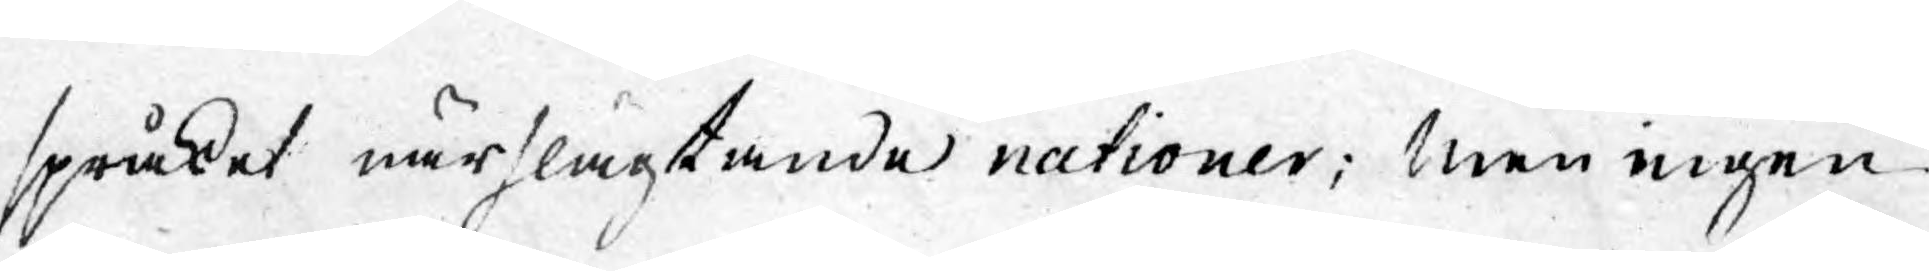språket närslägtande nationer; Men ingen
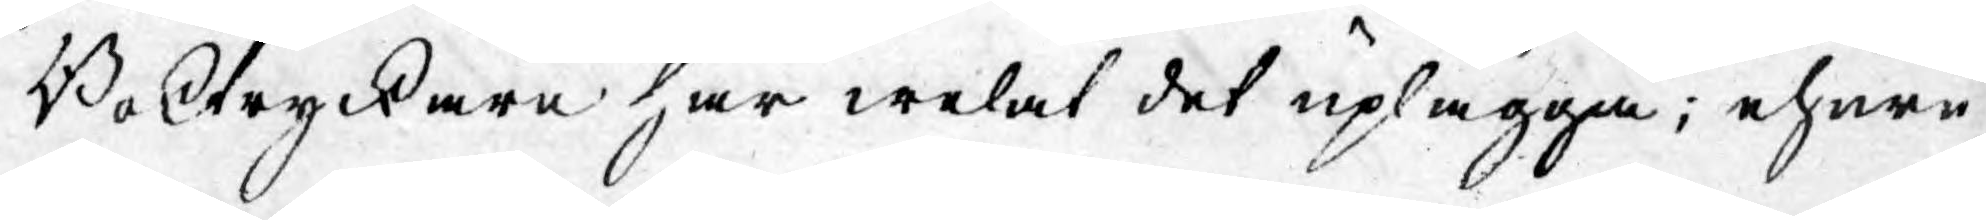Boktryckare har welat det uplägga; ehuru
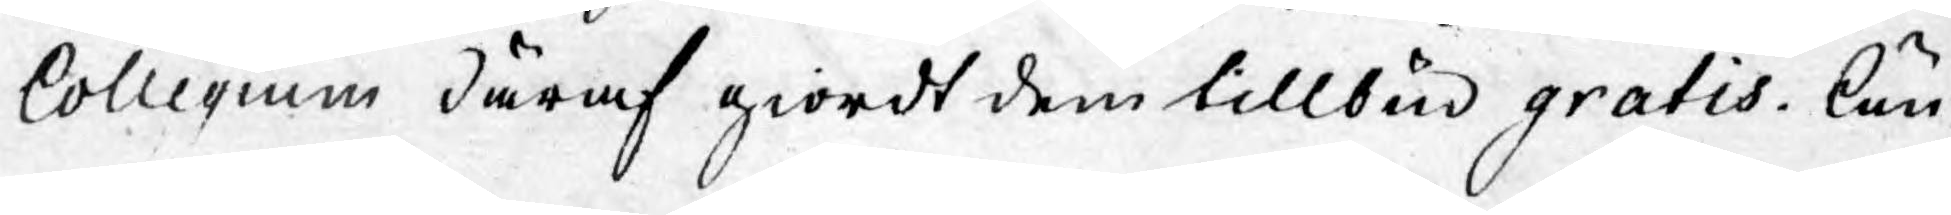Collegium däraf giordt dem tillbud gratis. Än¬
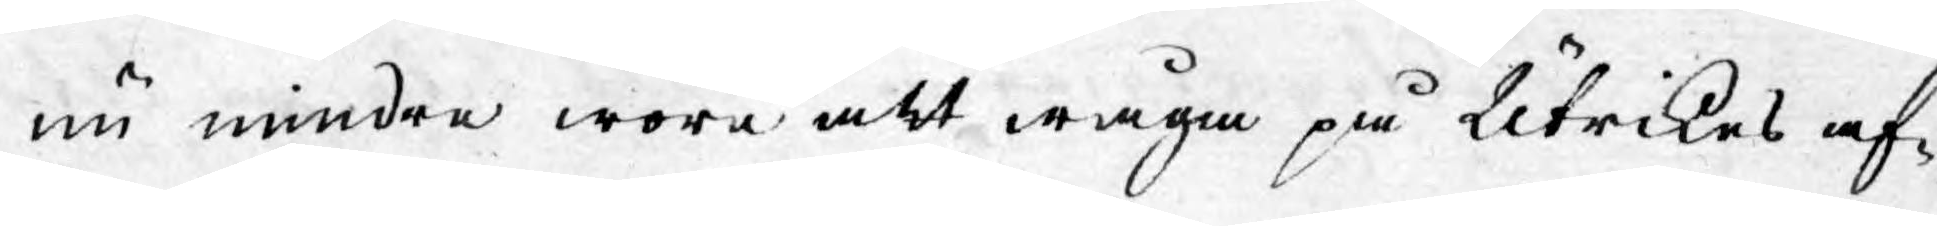nu mindre wore att wåga på Utrikes af¬
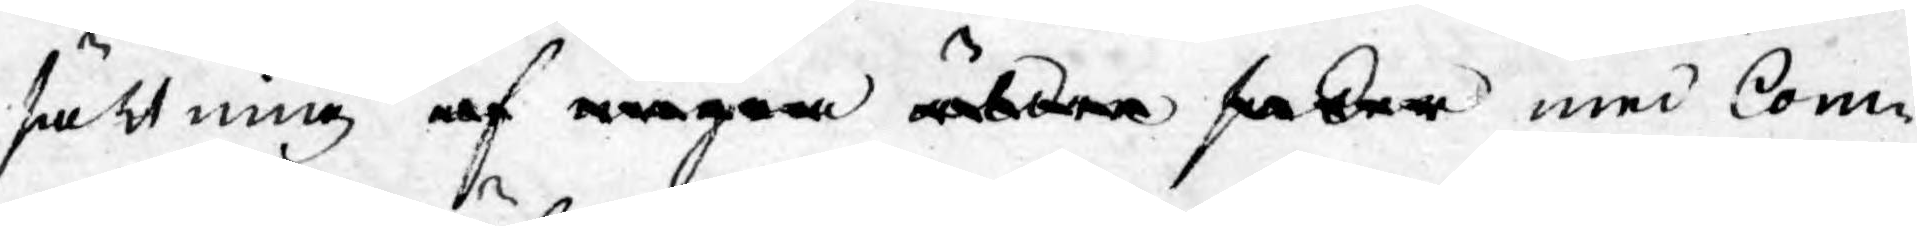sättning af någre äldre asker med Com¬
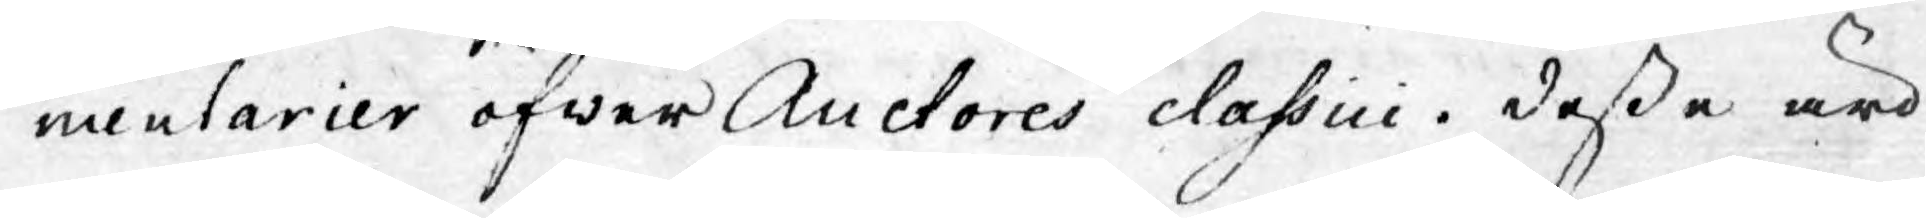mentarier öfwer Auctores classici. Desse äro
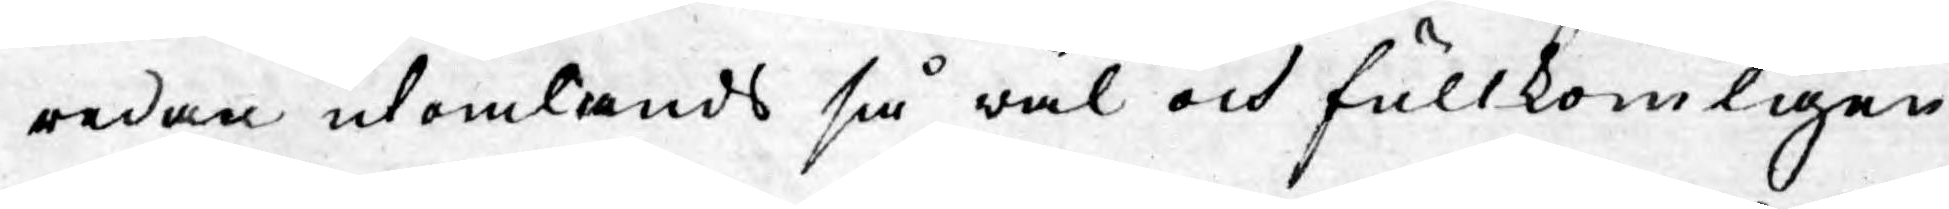redan utomlands så wäl och fullkomligen
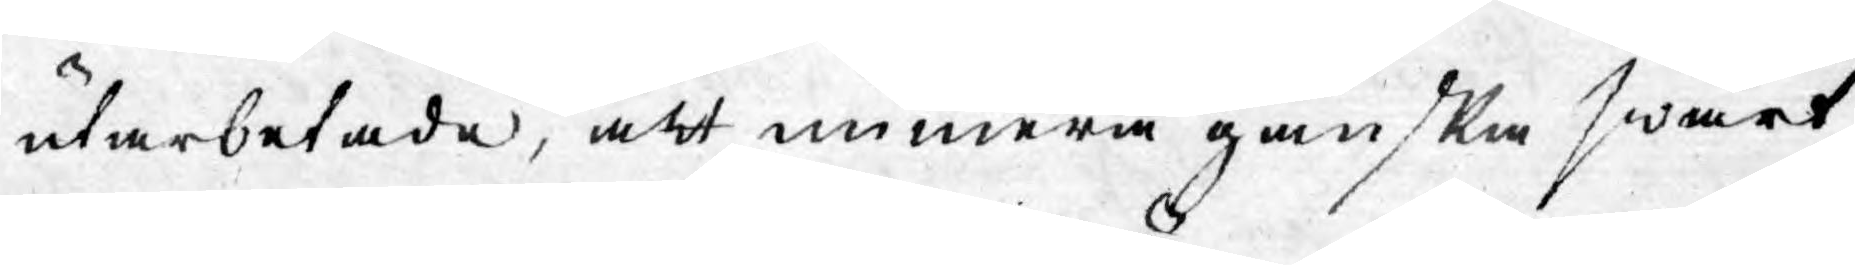utarbetade, att numera ganska swårt
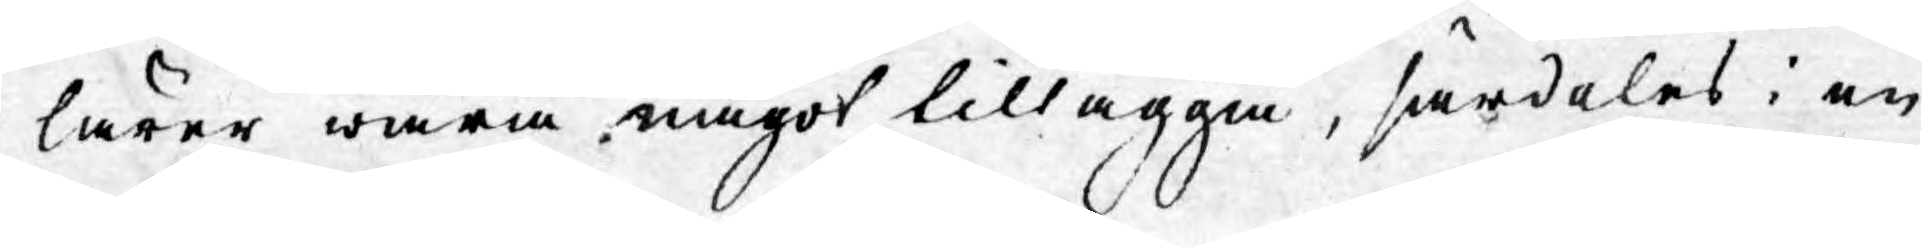lärer wara något tillägga, särdeles i en
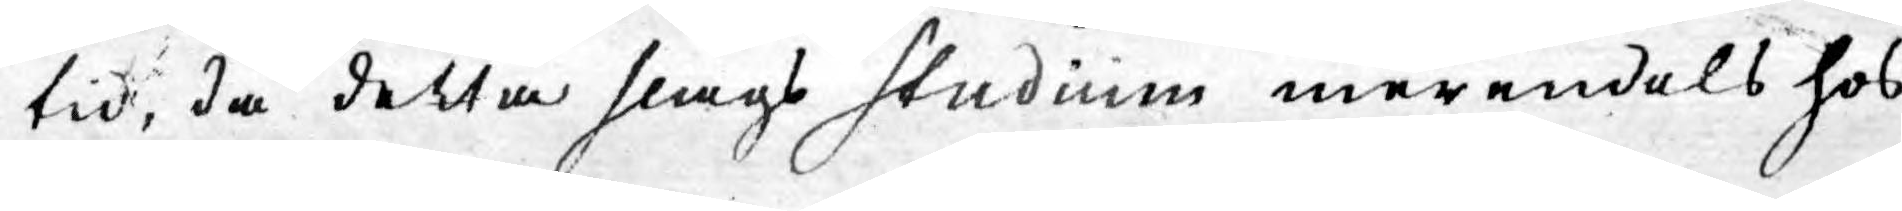tid, då detta slags studium merendels hos
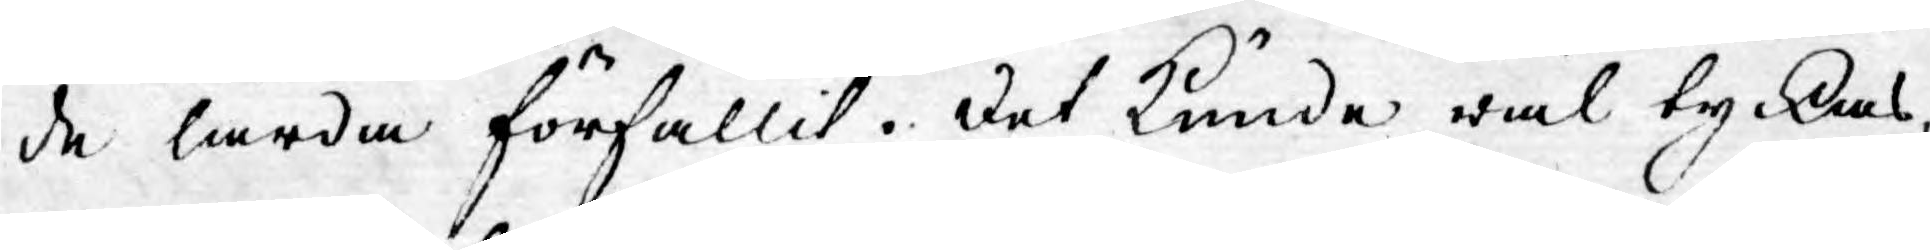de lärda förfallit. Det kunde wäl tyckas,
